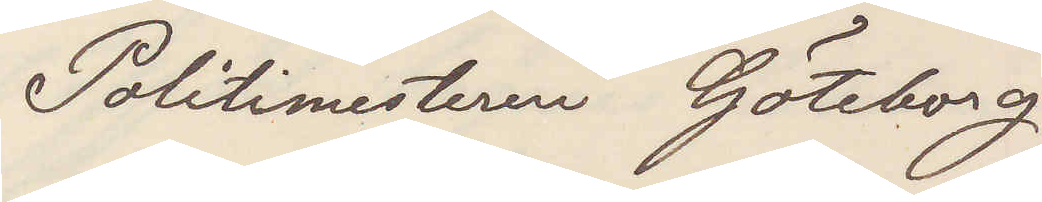Politimesteren Göteborg
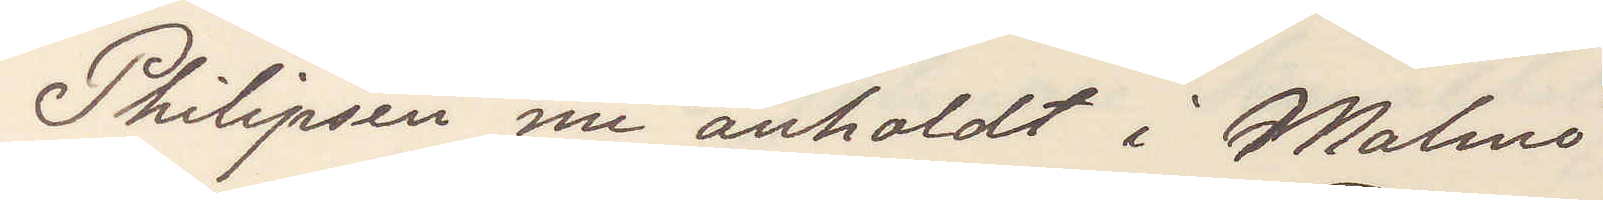Philipsen nu anholdt i Malmö.
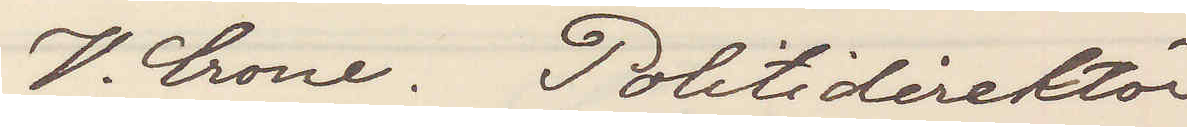V. Crone. Politidirektör
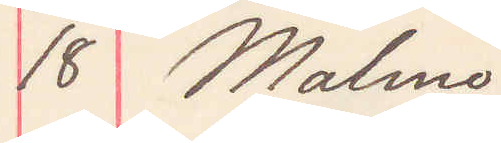18 Malmö.
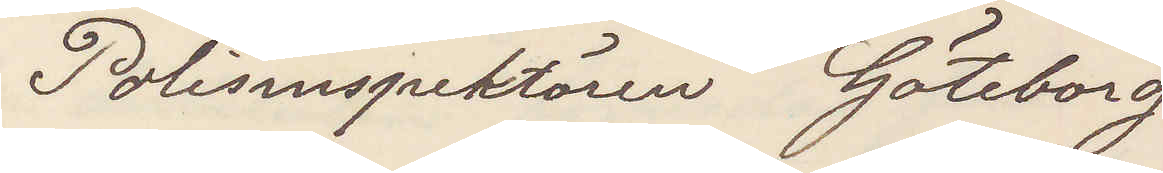Polisinspektören Göteborg
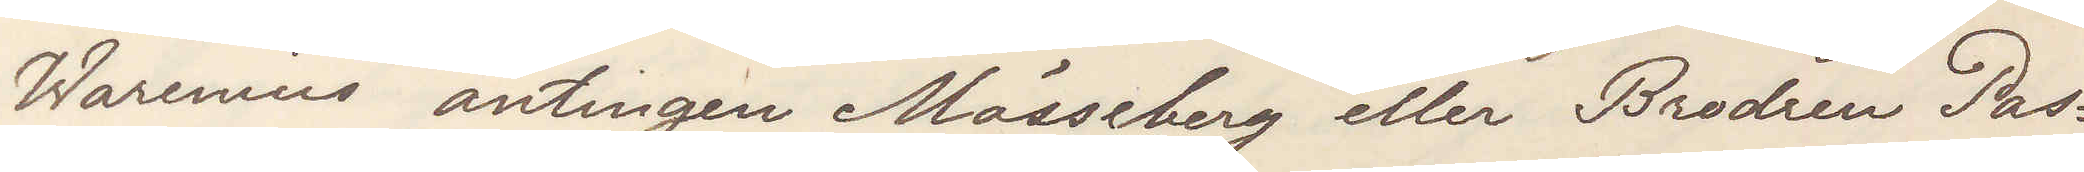Warenius antingen Mössberg eller Brodren Pas¬
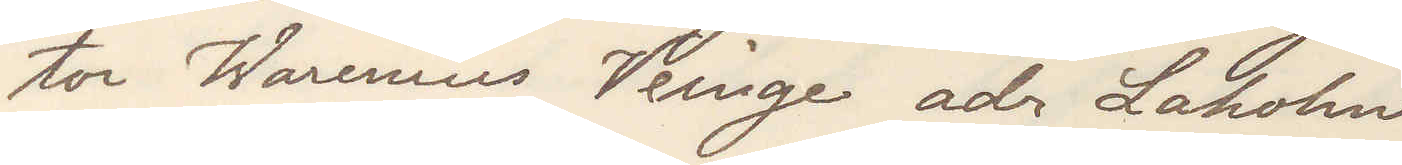tor Warenius Veinge adr Laholm
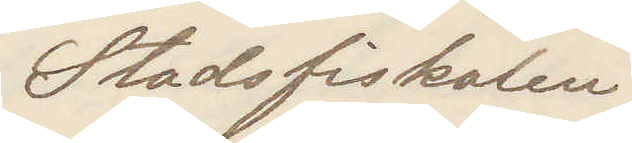Stadsfiskalen
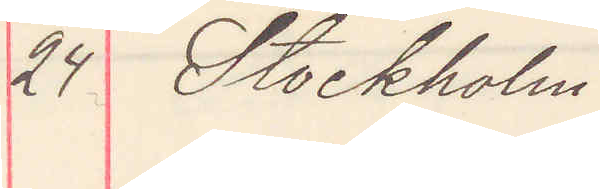24 Stockholm
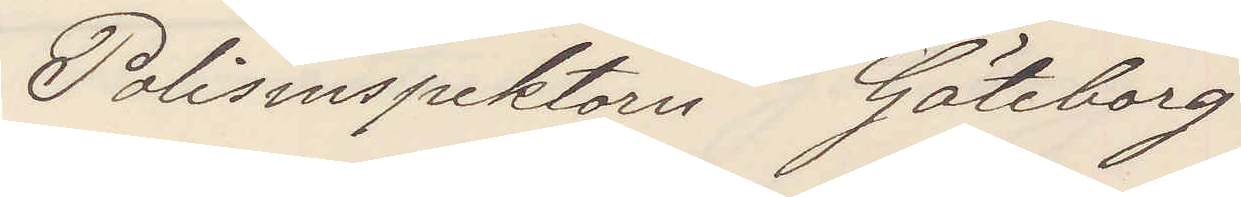Polisinspektorn Göteborg
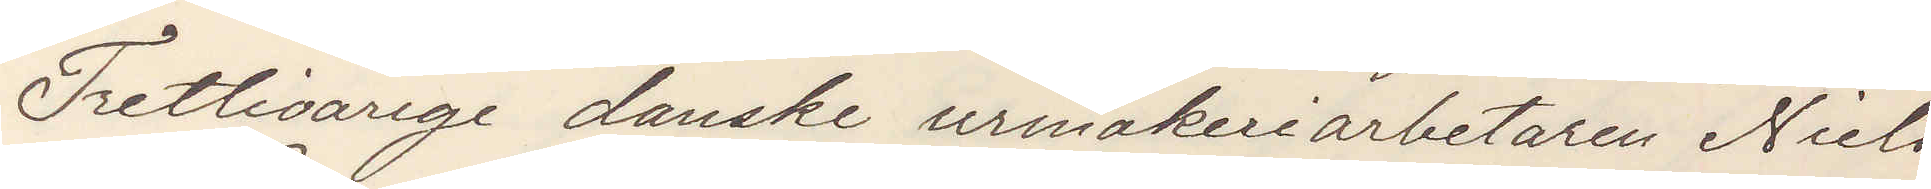Trettioårige danske urmakeriarbetaren Niels
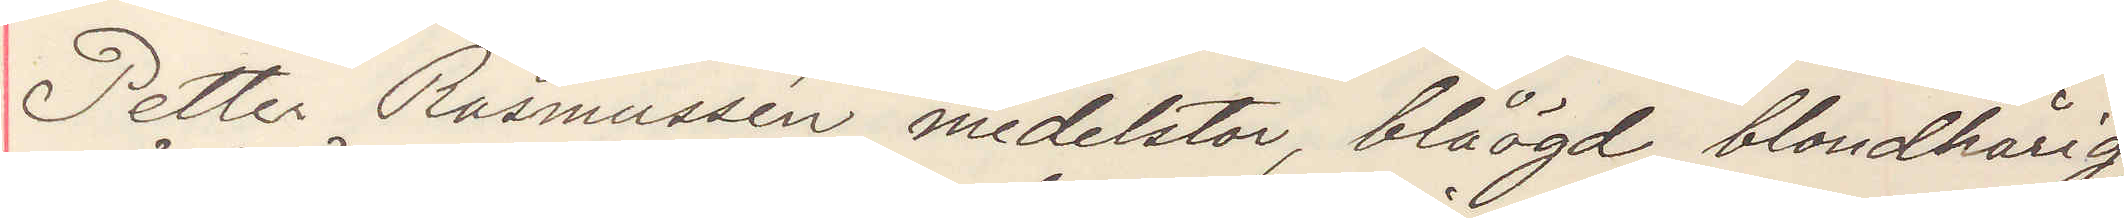Petter Rasmussen, medelstor, blåögd, blondhårig,
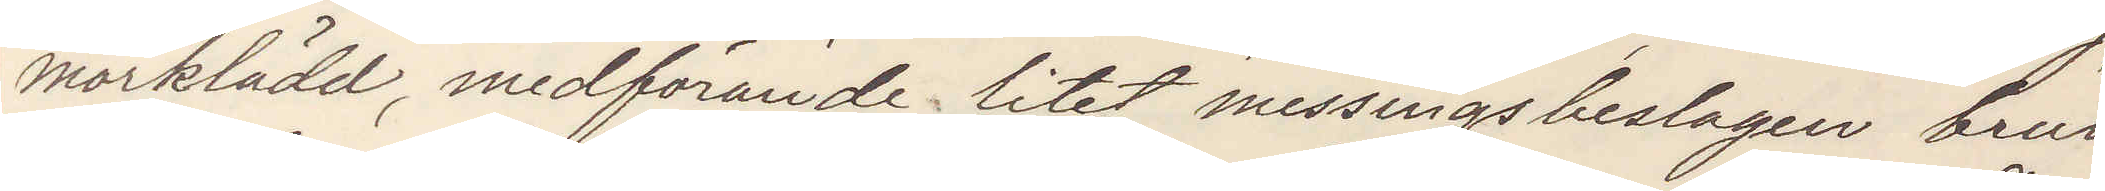mörklädd medförande litet messingsbeslagen brun
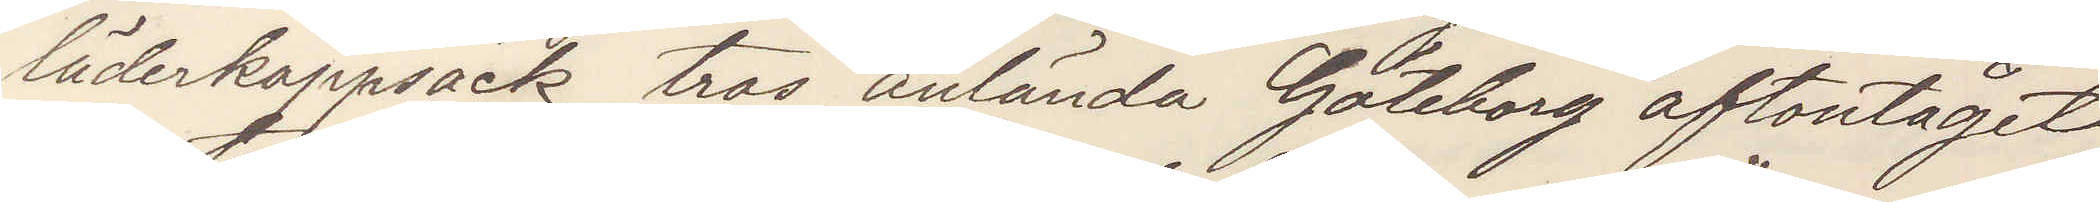läderkappsäck, tros anlända Göteborg aftontåget
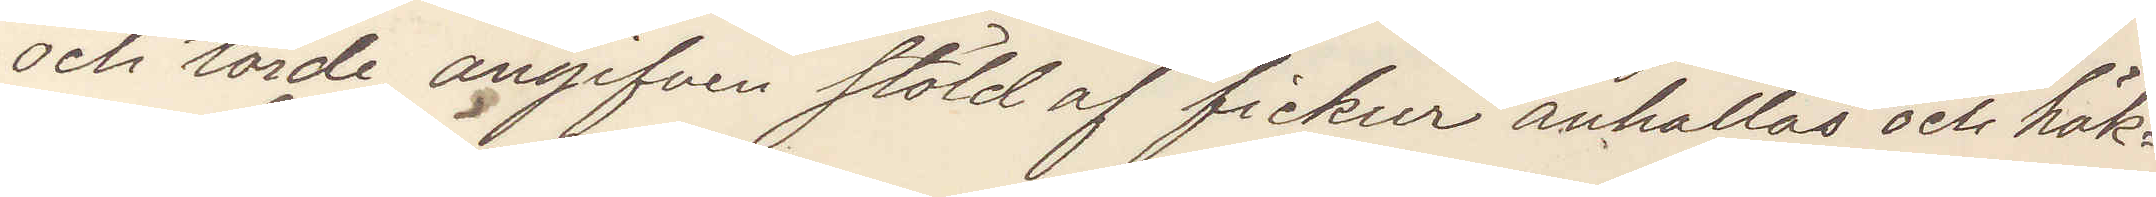och torde angifven stöld af fickur anhållas och häk¬
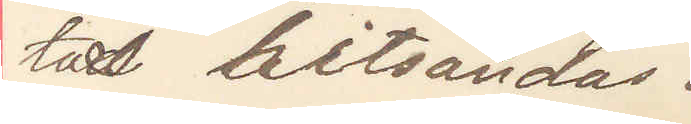tas hitsändas.
